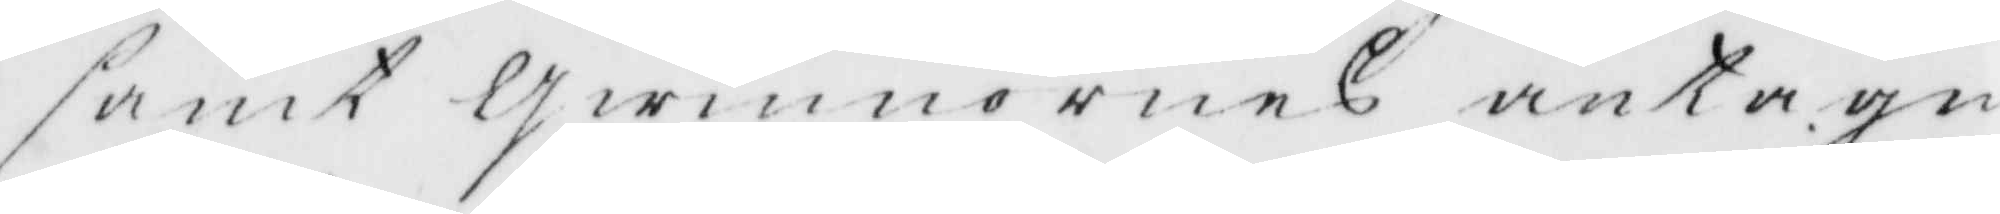samt Qwinnornes antagn
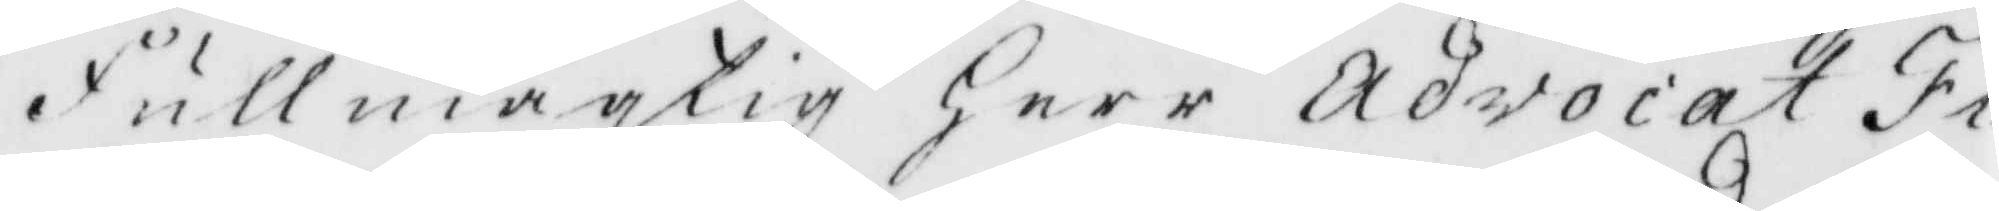Fullmägtig Herr Advocat Fi¬
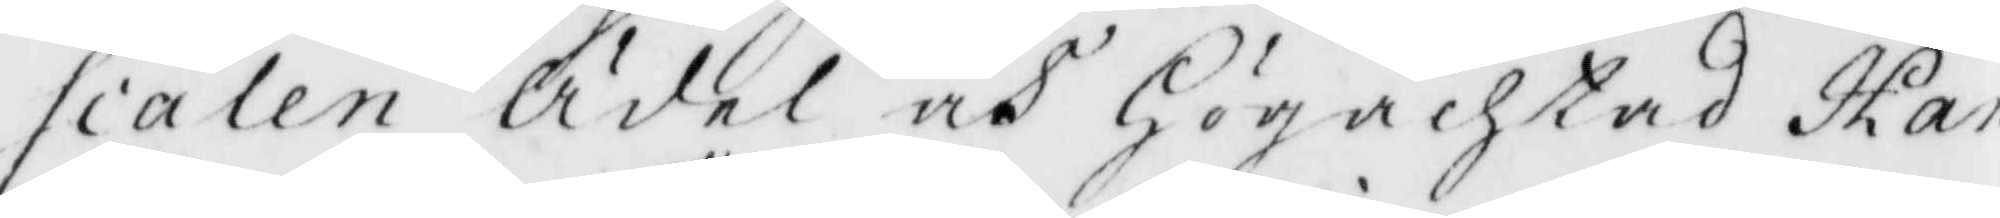scalen Ädel och Högachtad Han
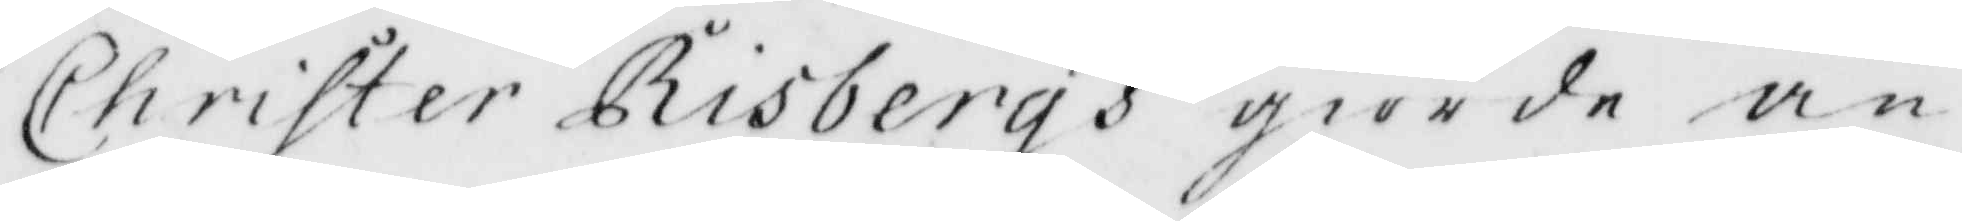Christer Risbergs giorde an¬
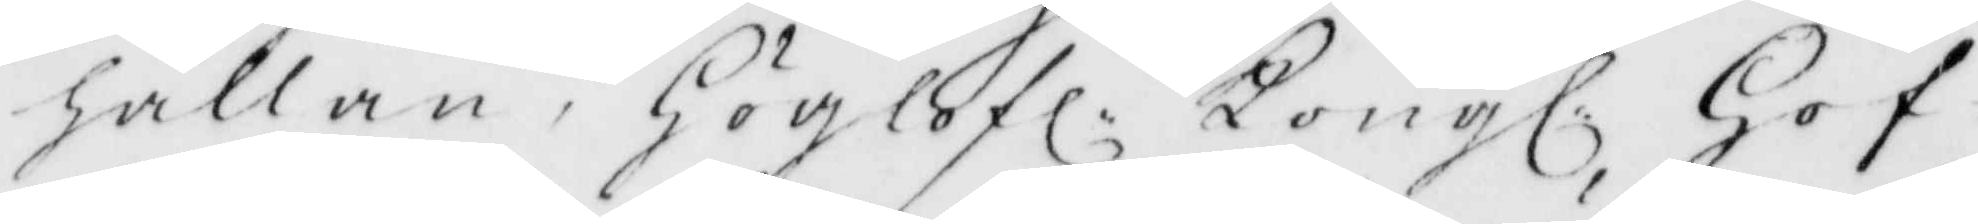hållan, Höglofl: Kongl: Hof¬
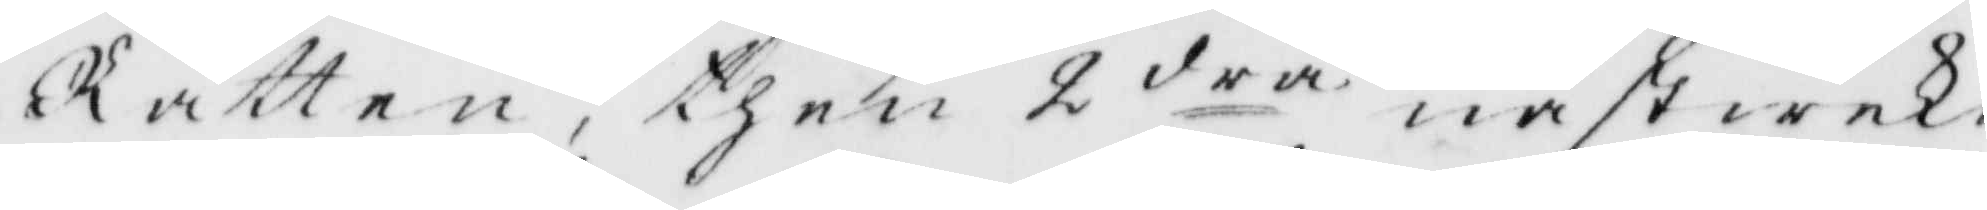Rätten, then 2 dra, nästwekn
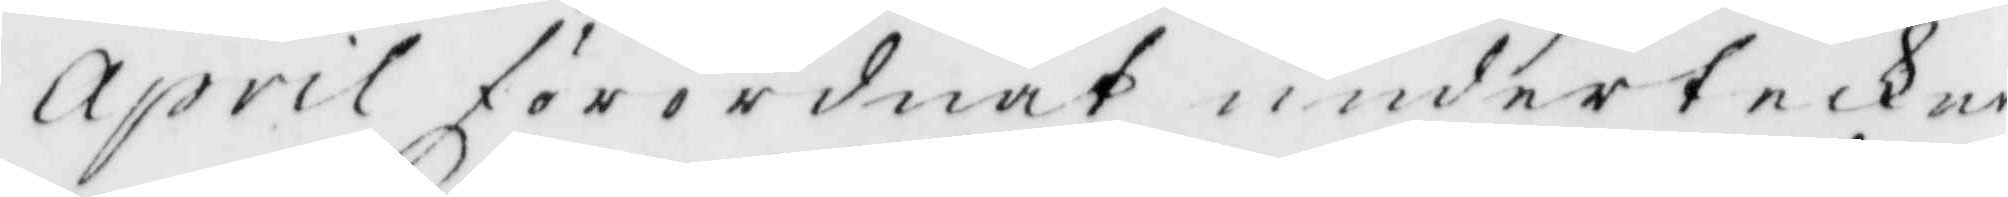April förordnat underteckna
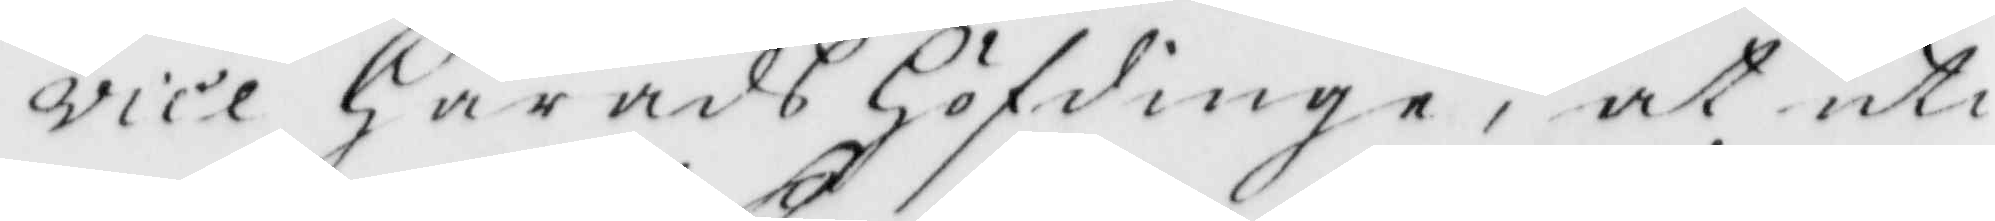vice HäradsHöfdinge, at uti
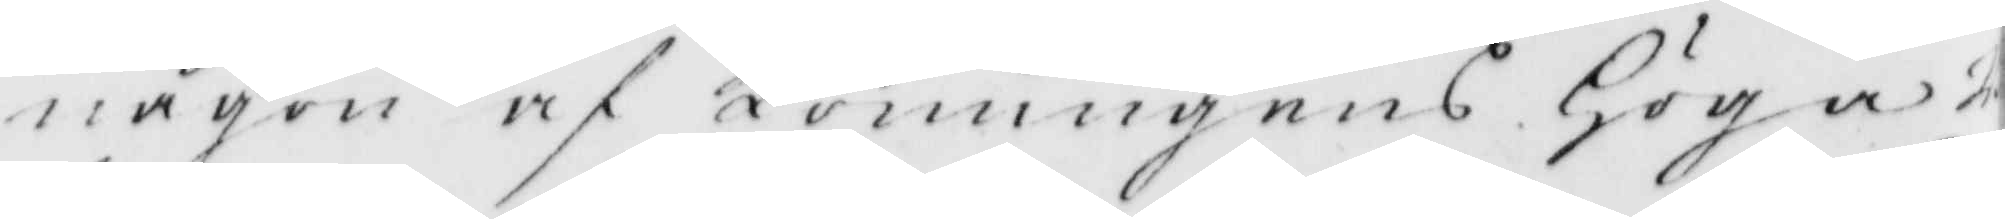någon af Konungens Höga 
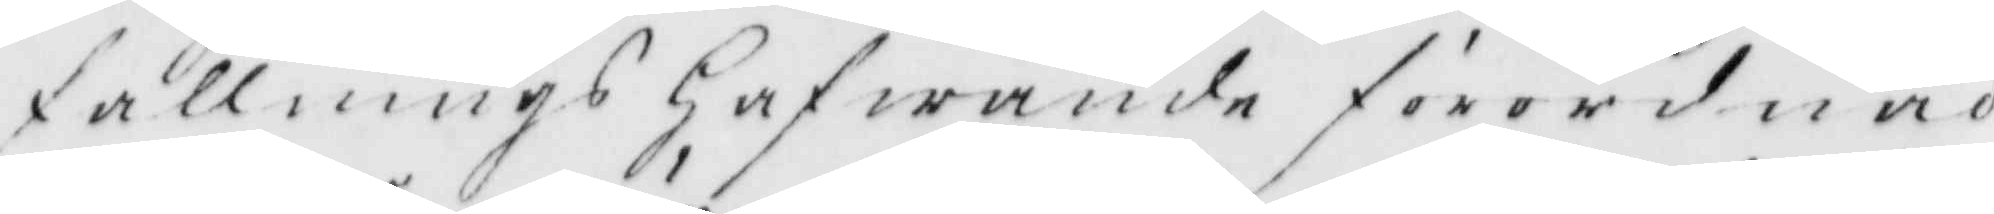fallnings Hafwande förordnad
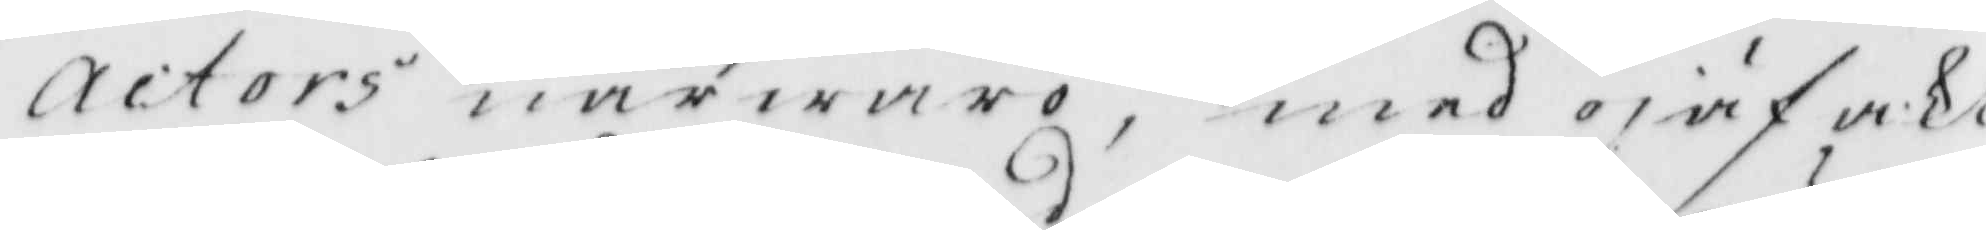actors närwaro, med ojäf akt
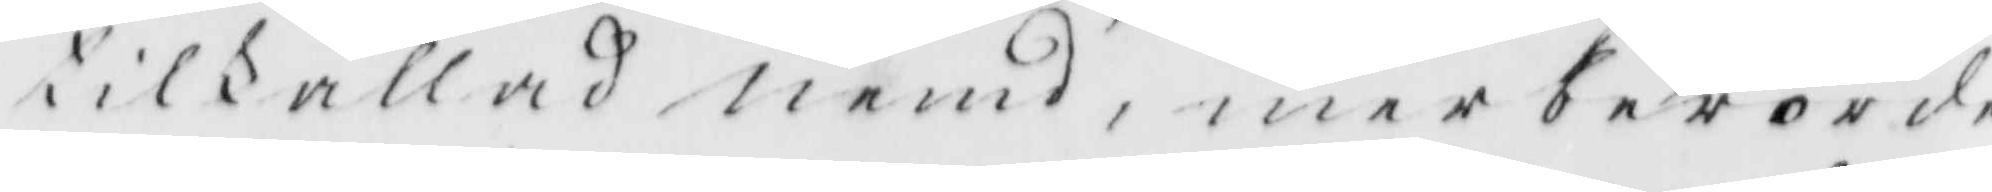tillkallad nemd, merberörde
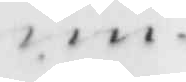un¬
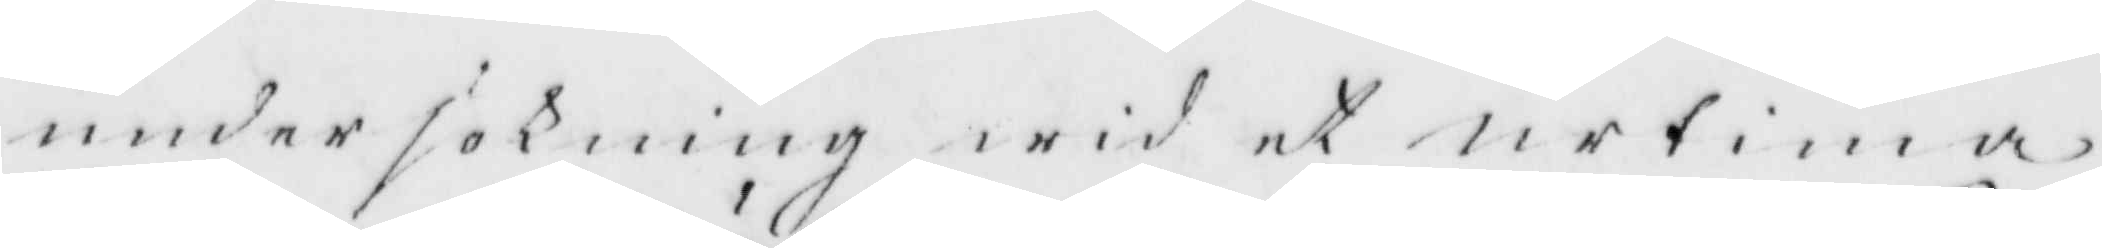undersökning wid et urtima
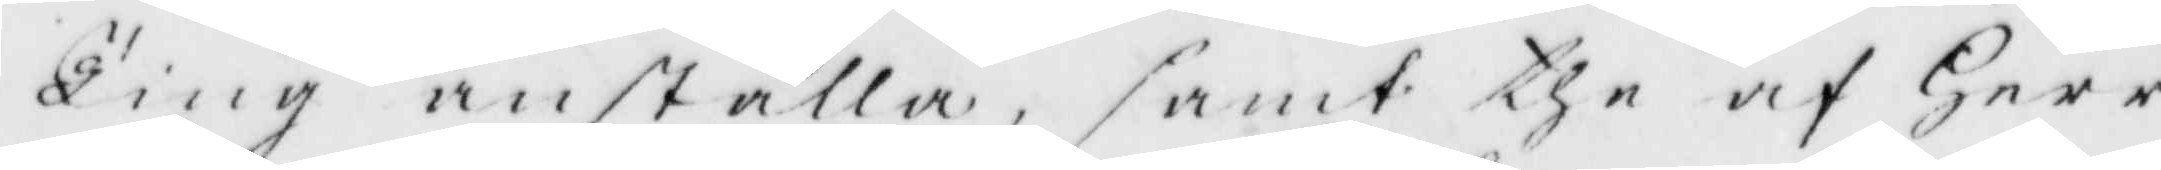Ting anställa, samt the af Herr
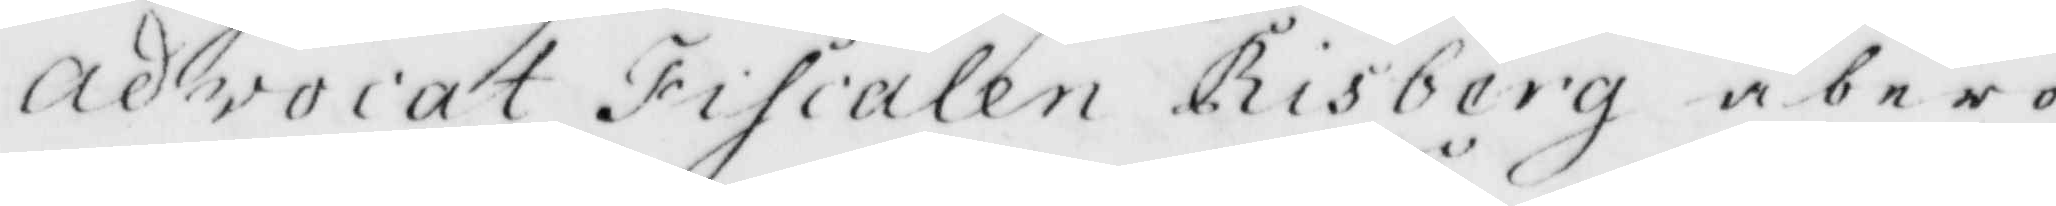advokat Fiscalen Risberg åbero¬
